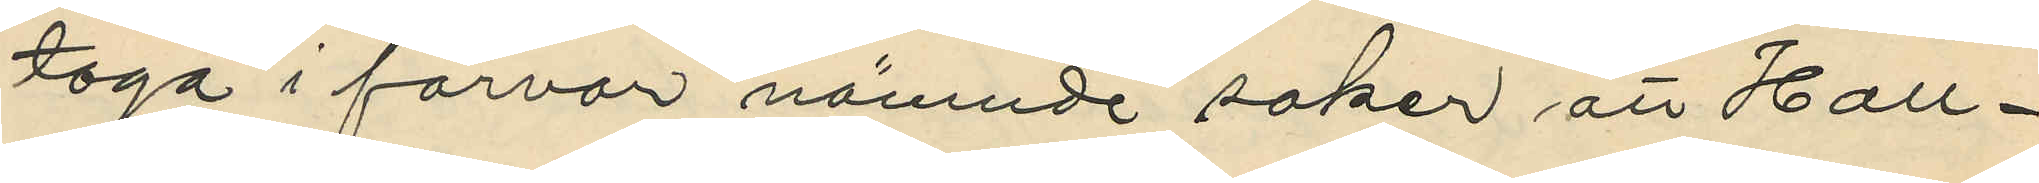taga i förvar nämnde saker att Hall¬
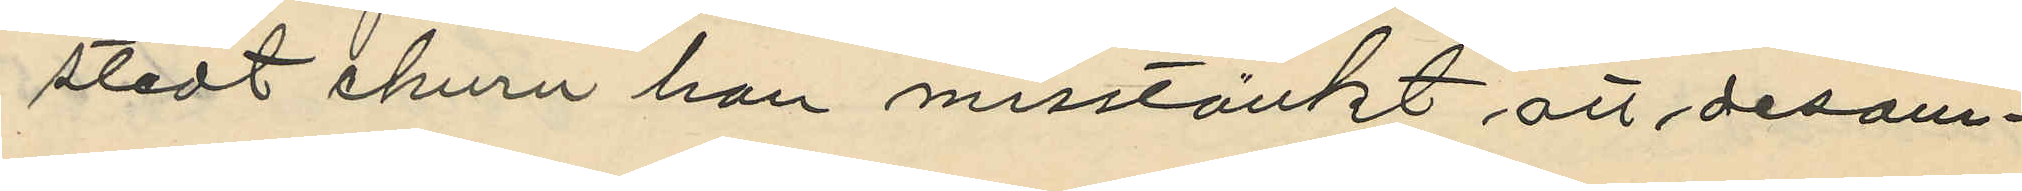stedt ehuru han misstänkt att desam¬
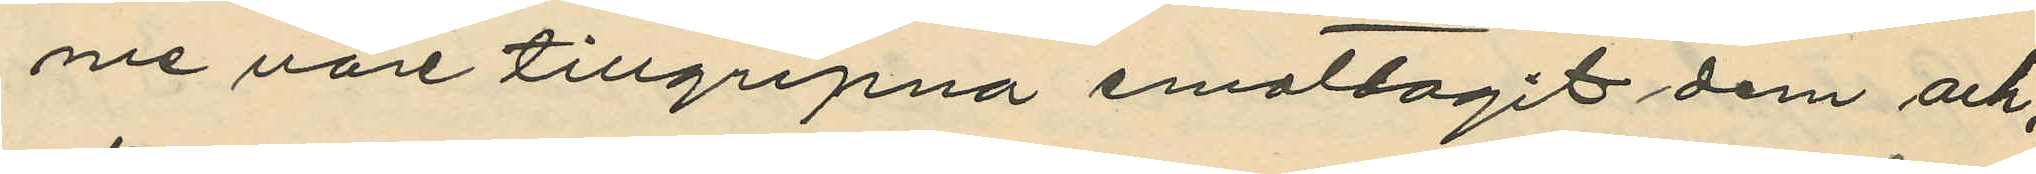me vore tillgripna emottagit dem och,
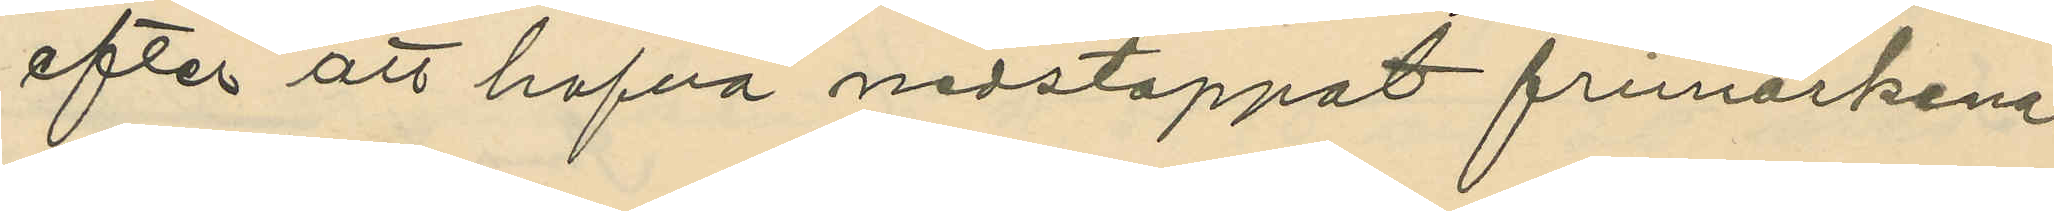efter att hafva nedstoppat frimärkena
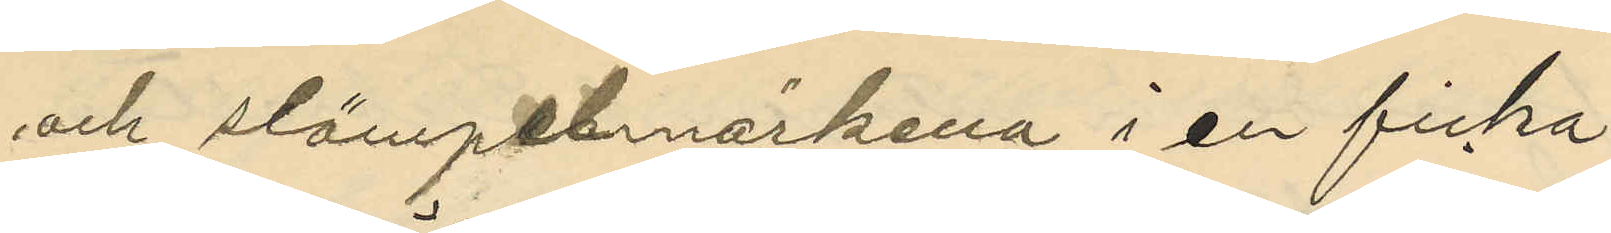och slämpelmärkena i en ficka
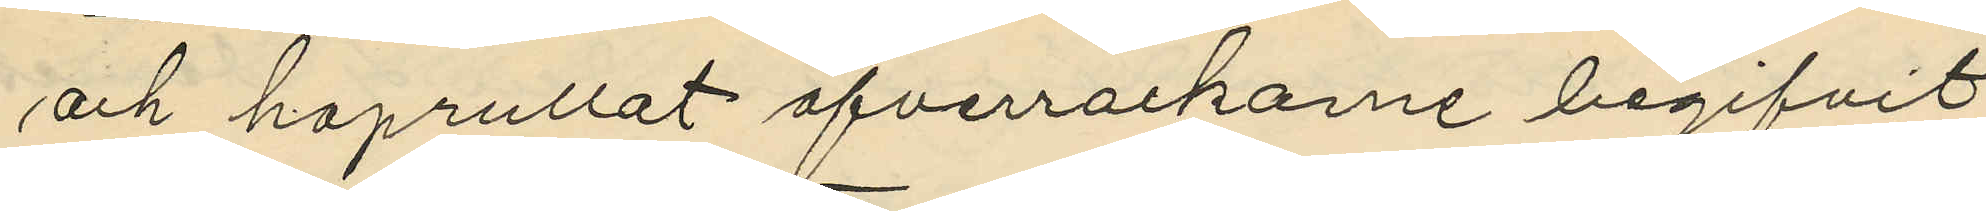och hoprullat öfverrockarne begifvit
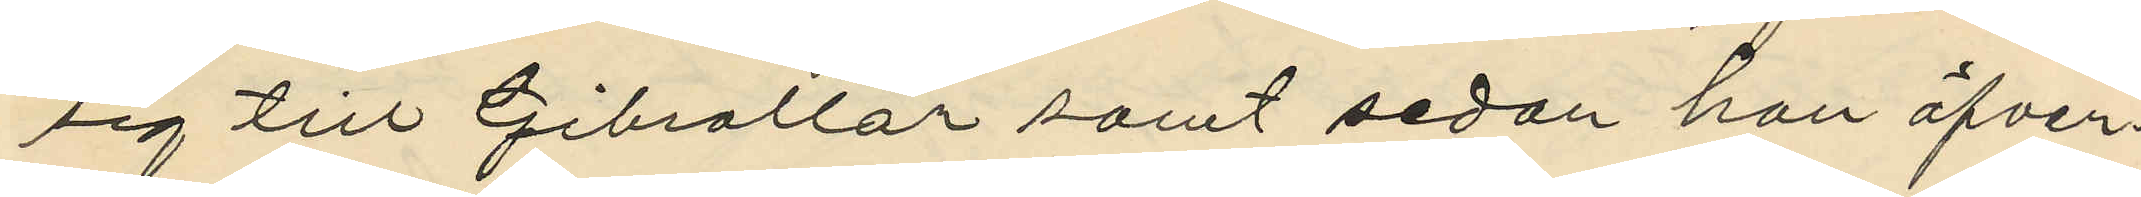sig till Gibraltar samt sedan han öfver¬
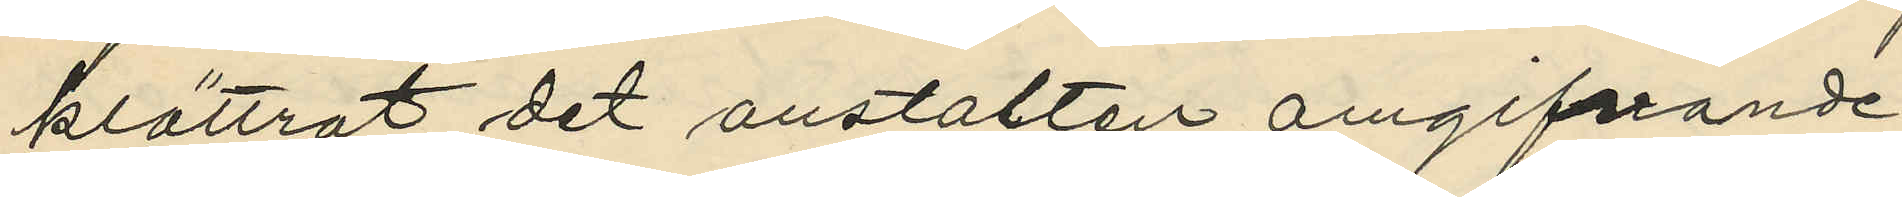klättrat det anstalten omgifvande
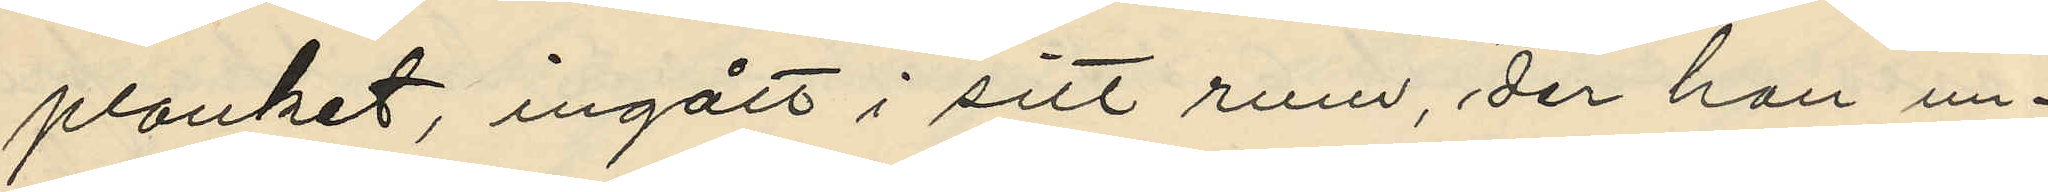planket, ingått i sitt rum, der han un¬
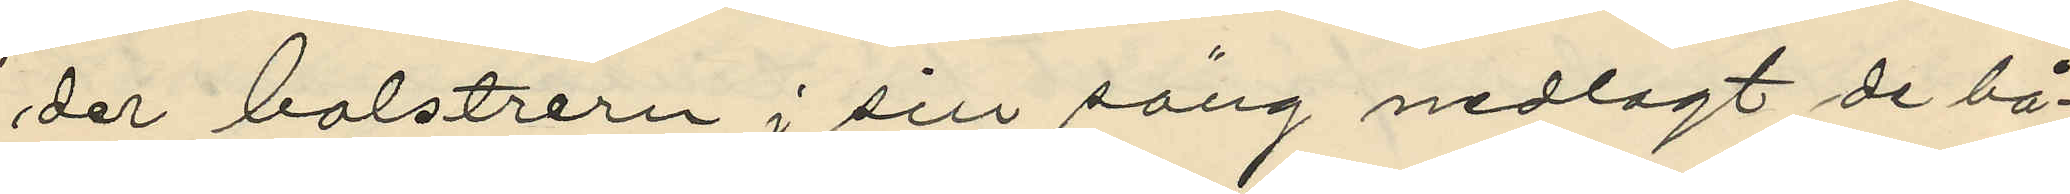der bolstrern i sin säng nedlagt de bå¬
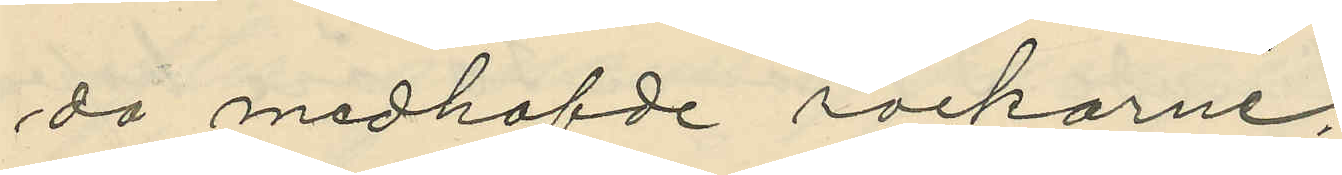da medhafde rockarne;
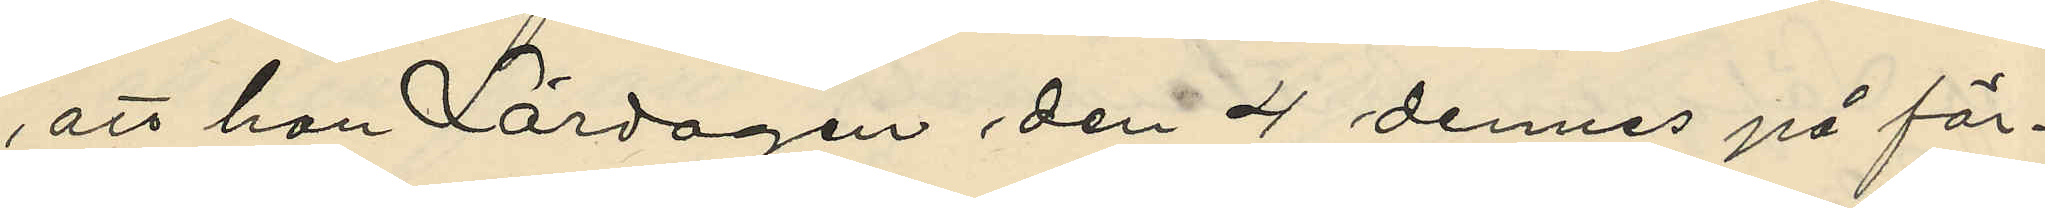att han Lördagen den 4 dennes på för¬
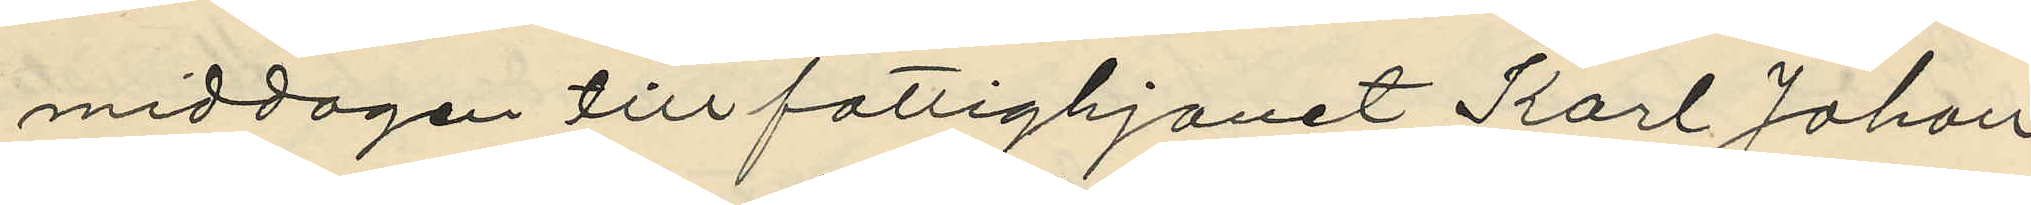middagen till fattighjonet Karl Johan
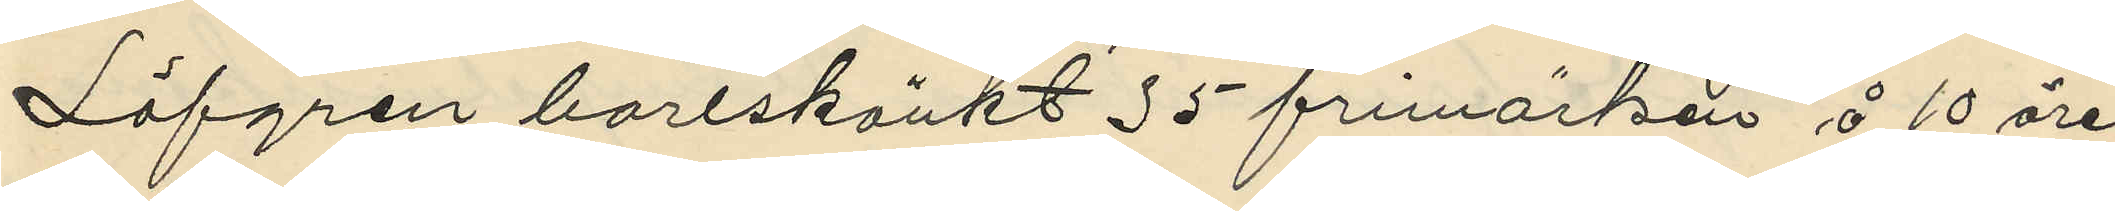Löfgren borlskänkt 35 frimärkär å 10 öres
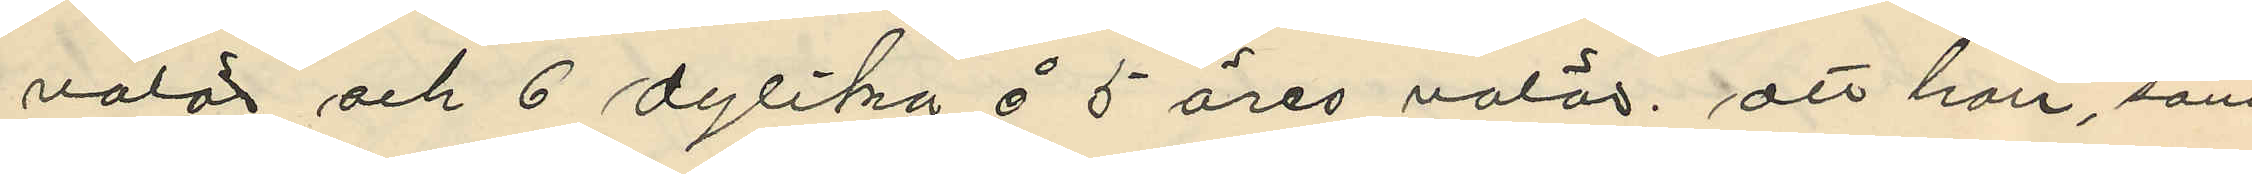valör och 6 dylika å 5 öres valör; att han, som
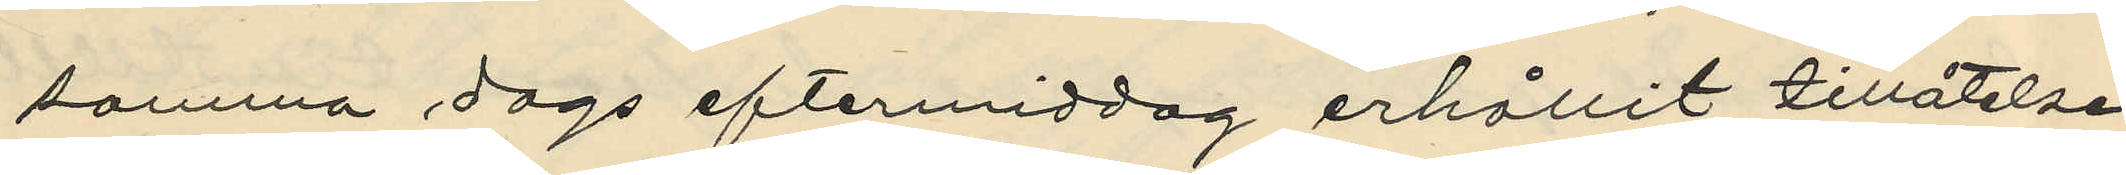samma dags eftermiddag erhållit tillåtelse
